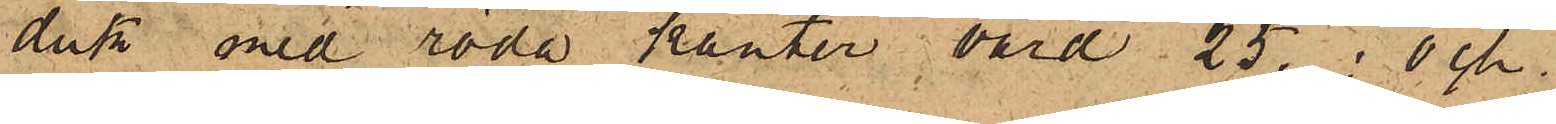duk med röda kanter, värd 25.; och
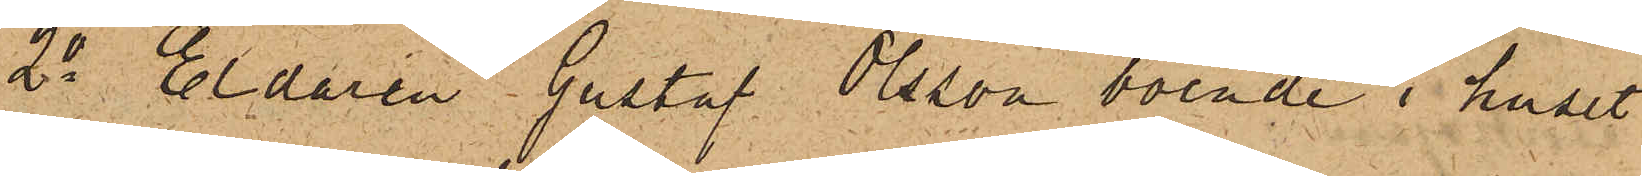2o Eldaren Gustaf Olsson, boende i huset
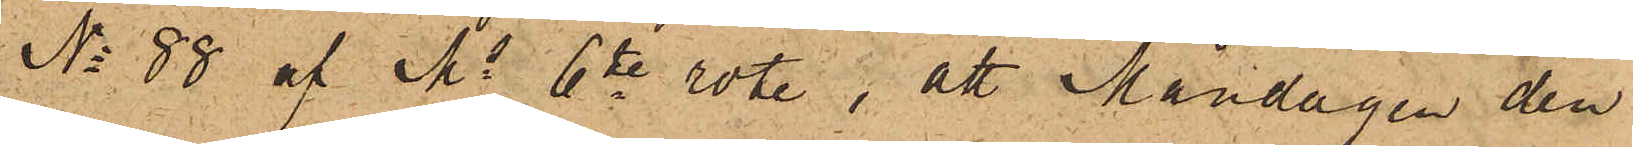No 88 af Ms 6te rote, att Måndagen den
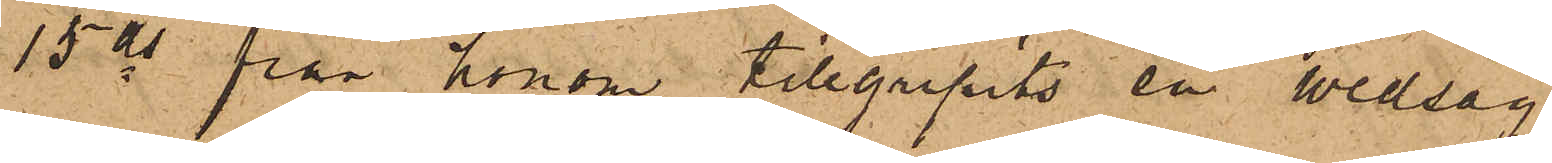15 ds från honom tillgripits en vedsåg
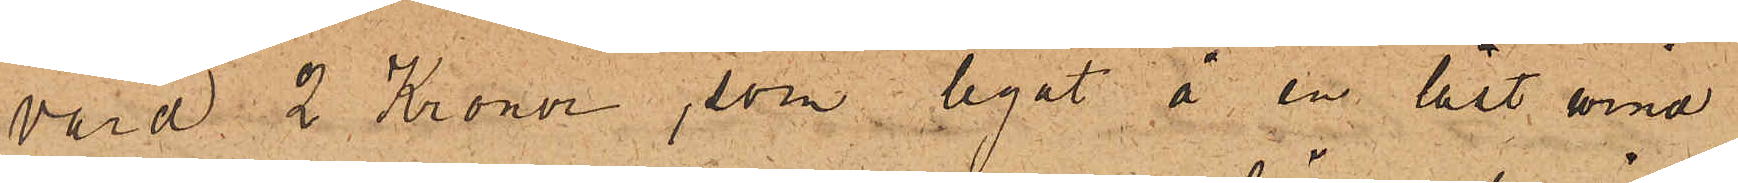värd 2 Kronor, som legat å en låst wind
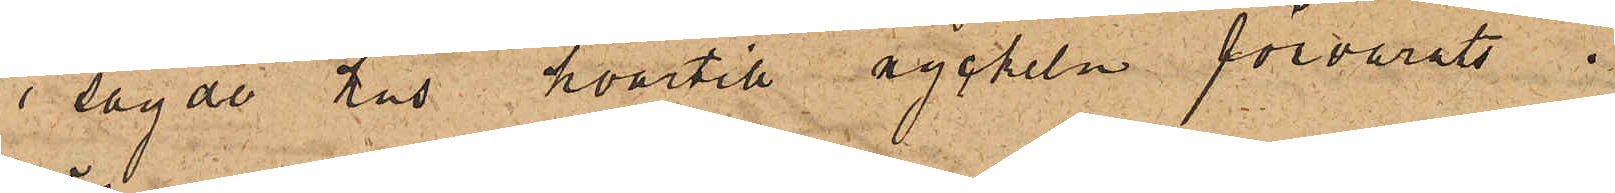i sagde hus, hvartill nyckeln förvarats i
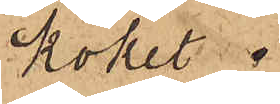köket.
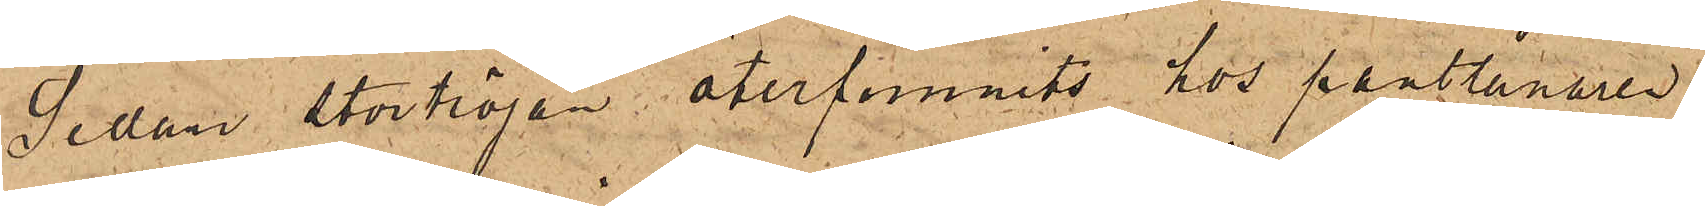Sedan stortröjan återfunnits hos pantlånaren
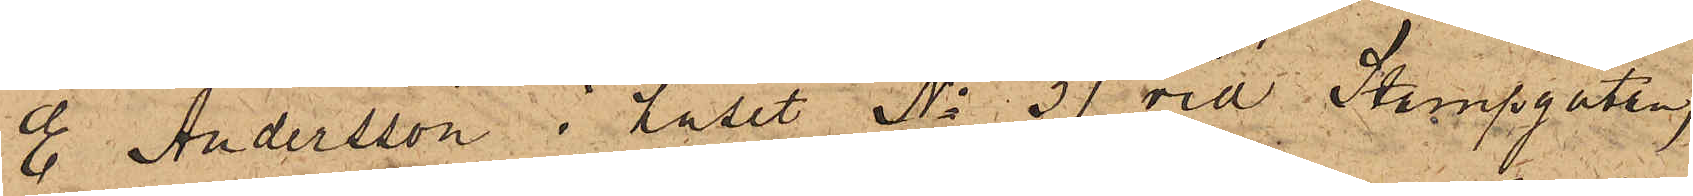E. Andersson i huset No 31 vid Stampgatan,
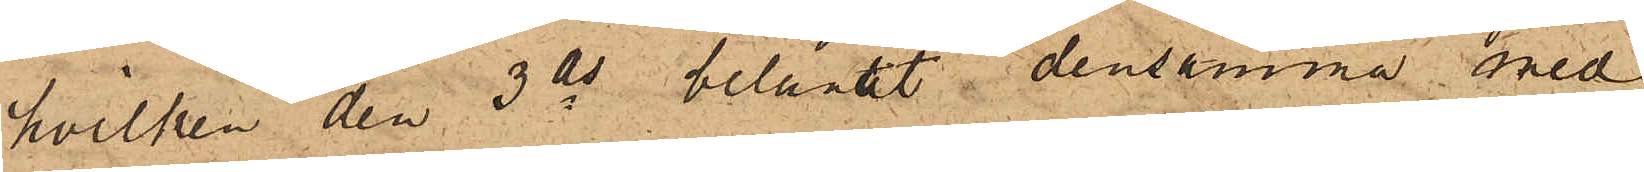hvilken den 3 ds belånat densamma med
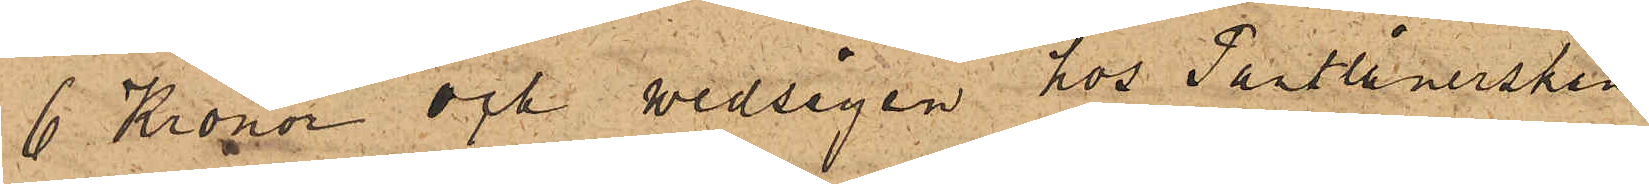6 Kronor och wedsågen hos Pantlånerskan
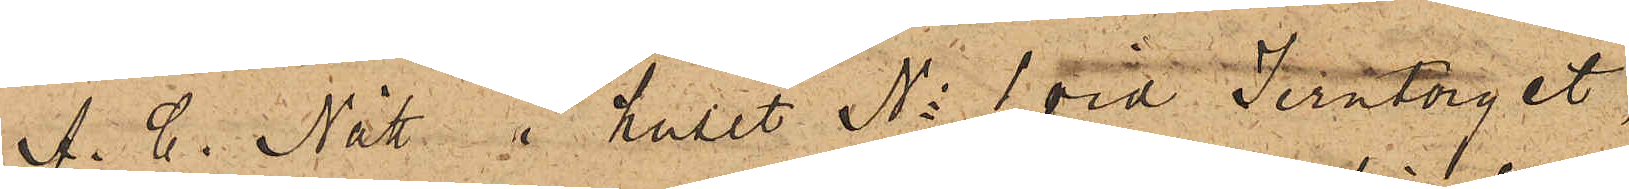A. C. Nätt i huset No 1 vid Jerntorget,
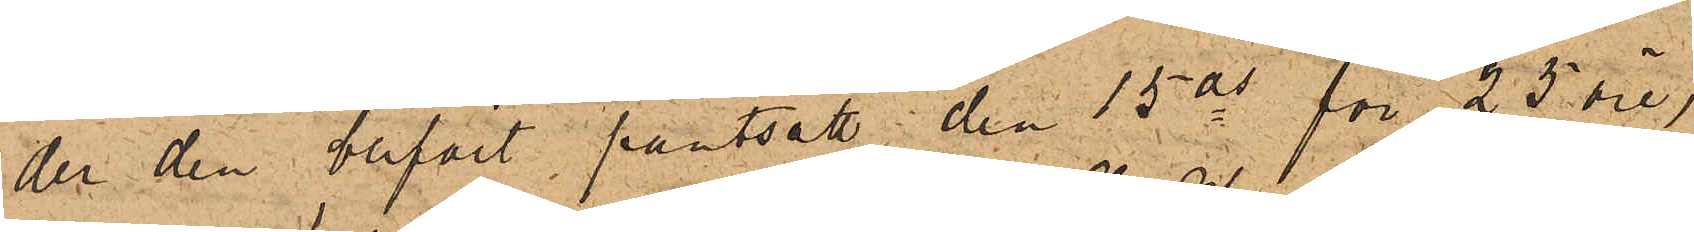der den blifvit pantsatt den 15 ds för 25 öre,
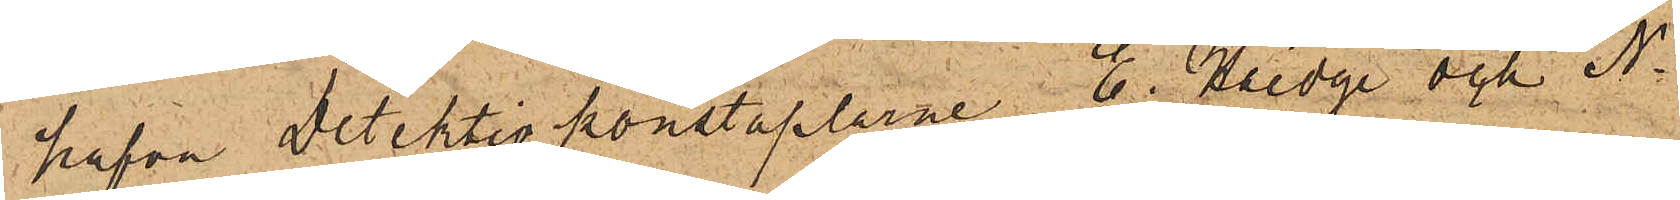hafva Detektivkonstaplarne E. Haedge och N.
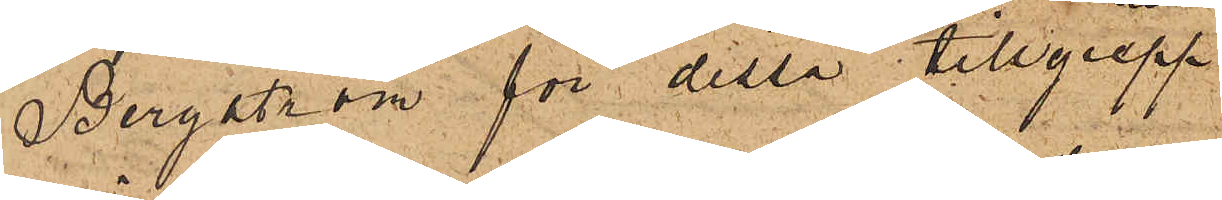Bergström för dessa tillgrepp
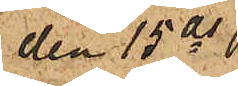den 15 ds 
